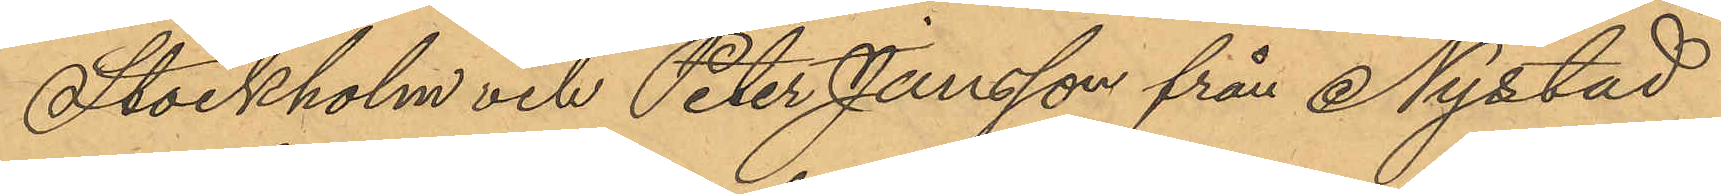Stockholm och Peter Jansson från Nystad
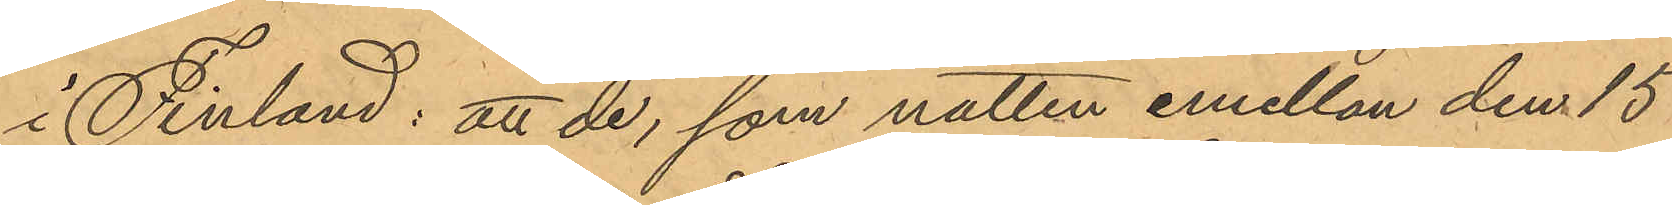i Finland: att de, som natten emellan den 15
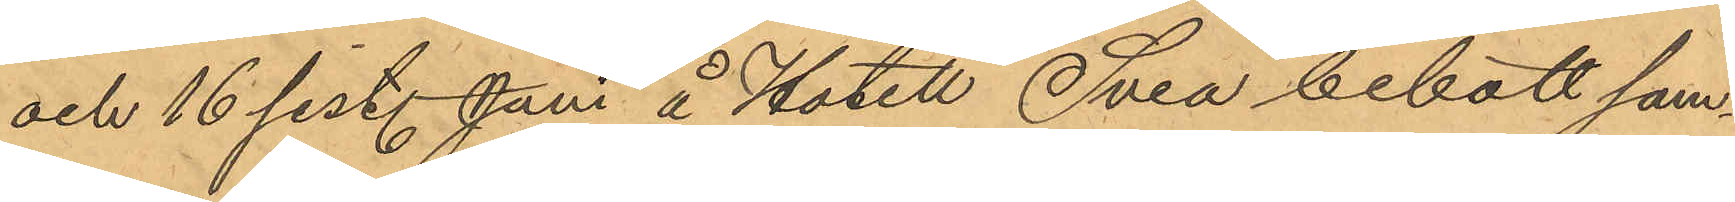och 16 sist. Juni å Hotell Svea bebott sam¬
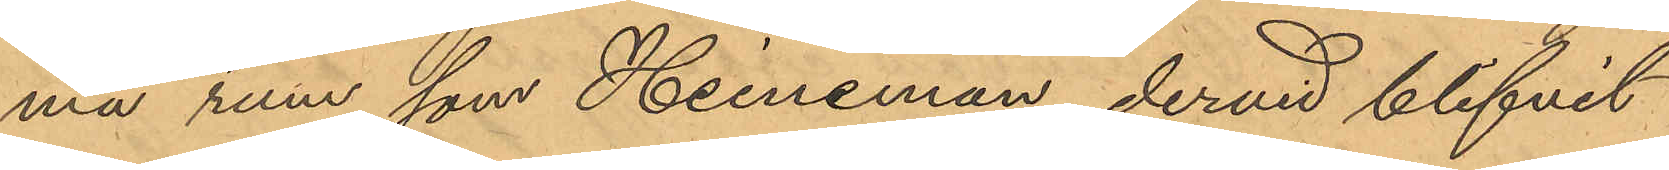ma rum, som Heineman, dervid blifvit
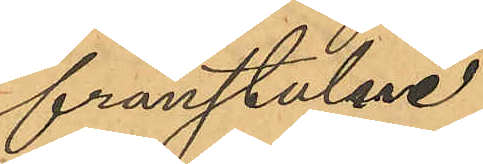frånstulne.
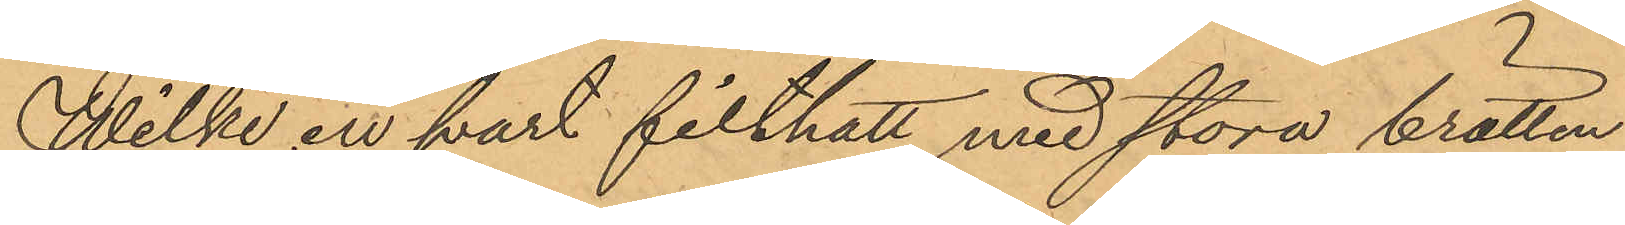Wilke en svart filthatt med stora brätten
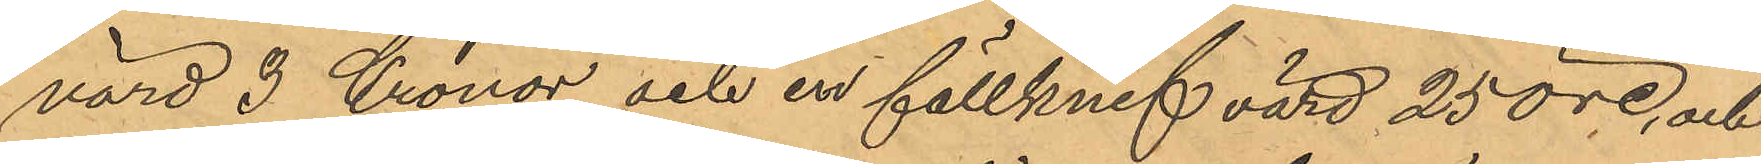värd 3 Kronor och en fällknif värd 25 öre, och
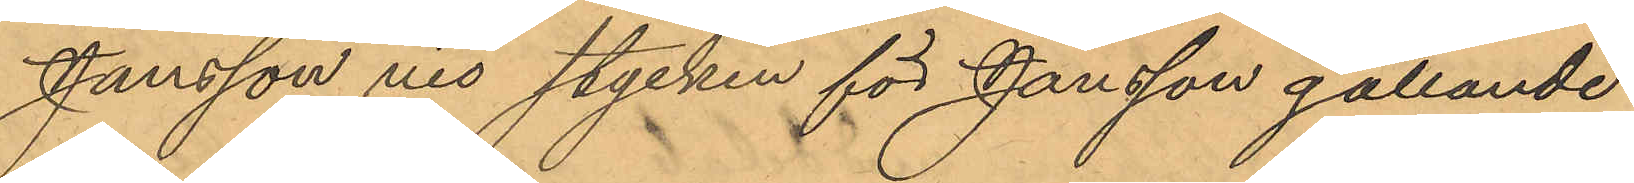Jansson nio stycken för Jansson gällande
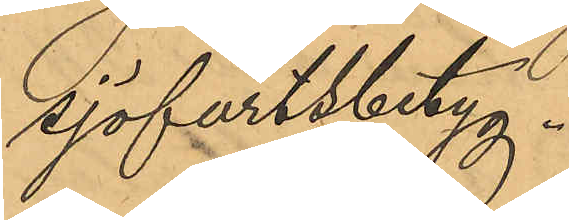sjöfartsbetyg.
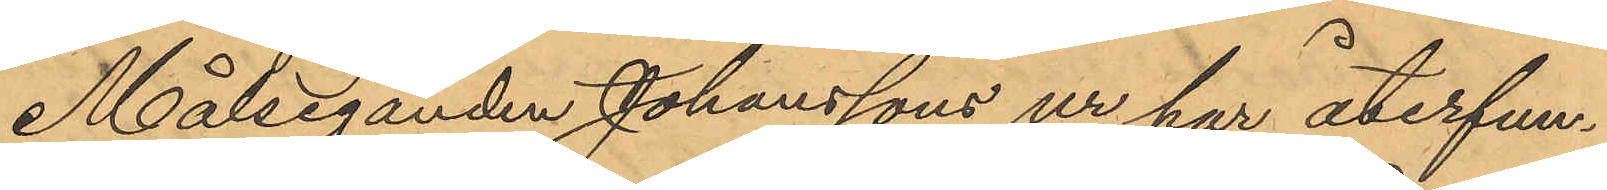Målseganden Johanssons ur har återfun¬
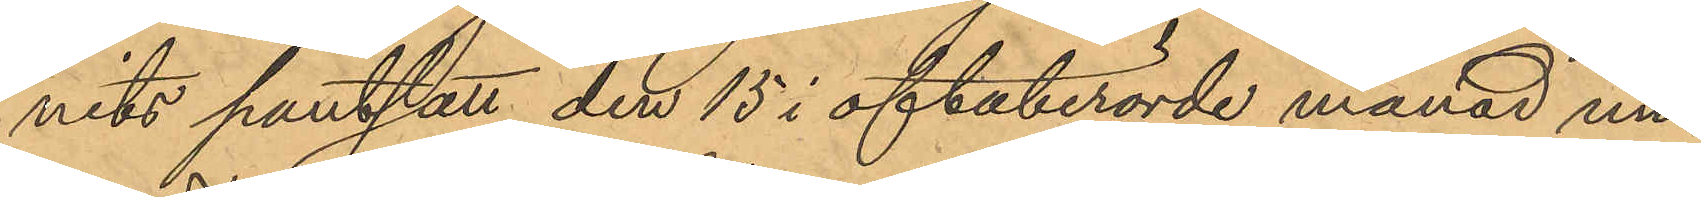nits pantsatt den 15 i oftaberörde månad un¬
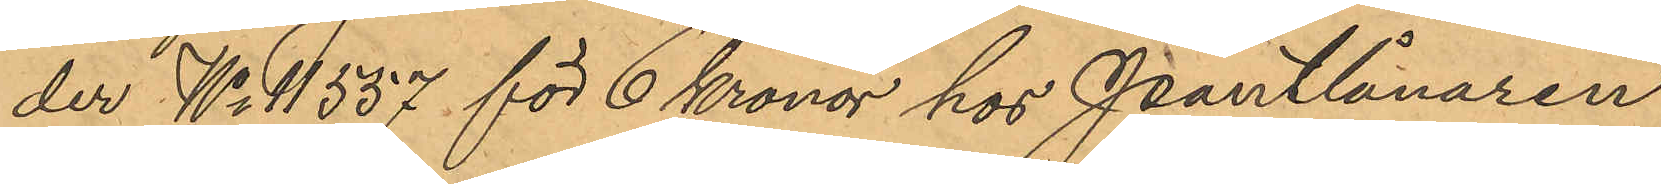der No 11537 för 6 Kronor hos Pantlånaren
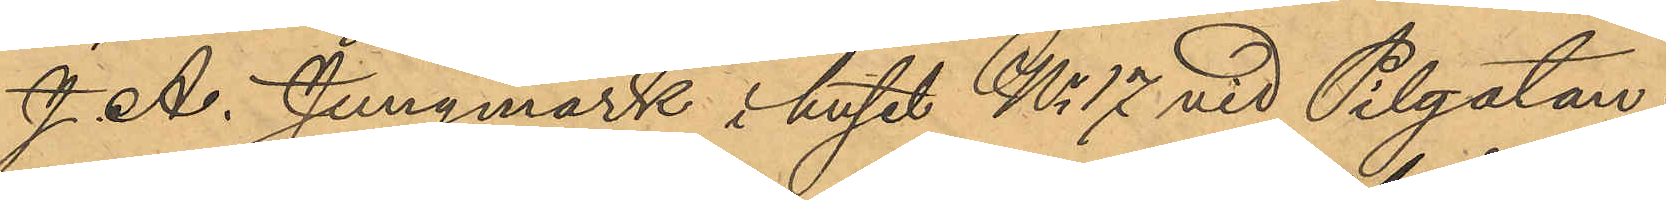J. A. Jungmark i huset No 17 vid Pilgatan,
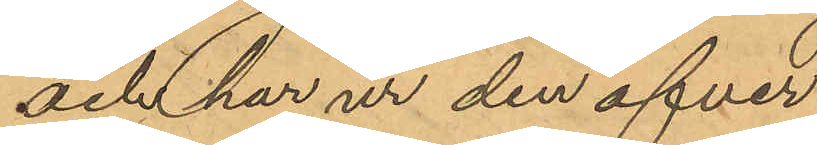och har ur den öfver
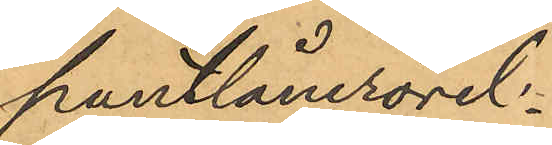pantlånerörel¬
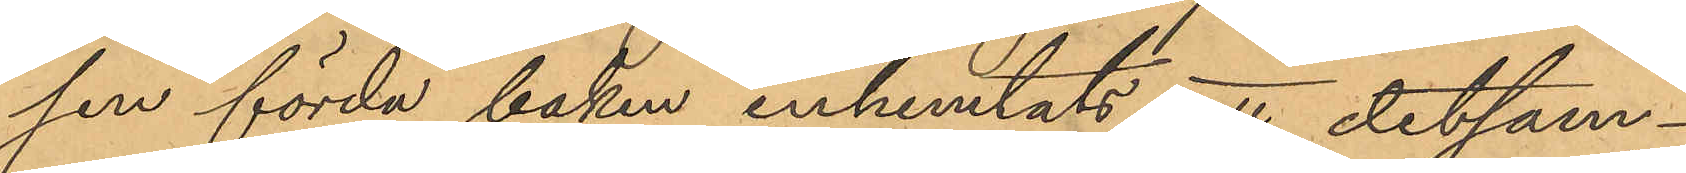sen förda boken inhemtats, att detsam¬
